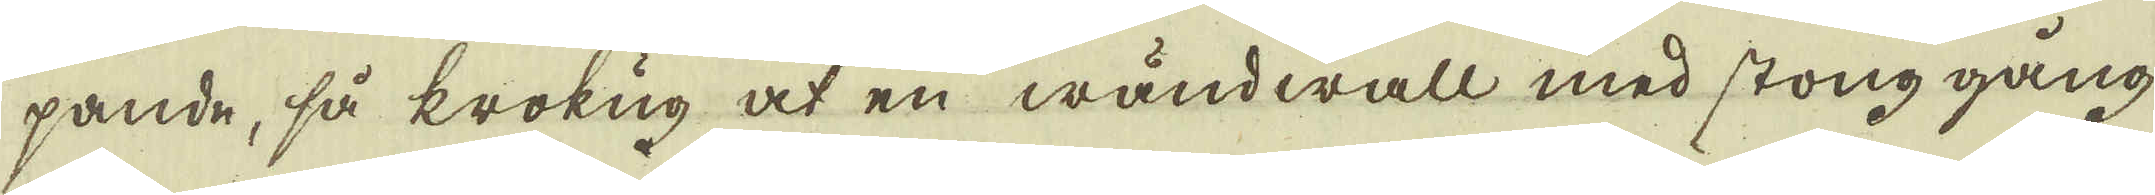pande, så krokug at en wändwall med stong gång
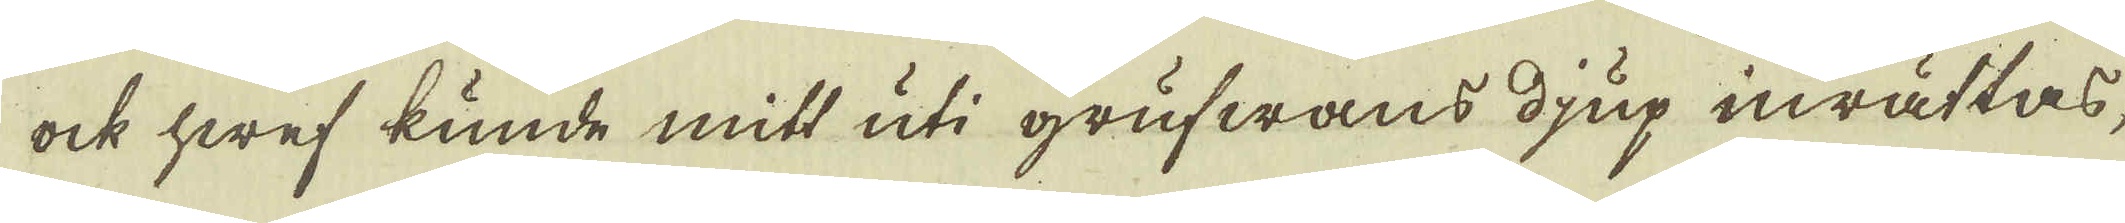ock hwef kunde mitt uti grufwans djup inrättas,
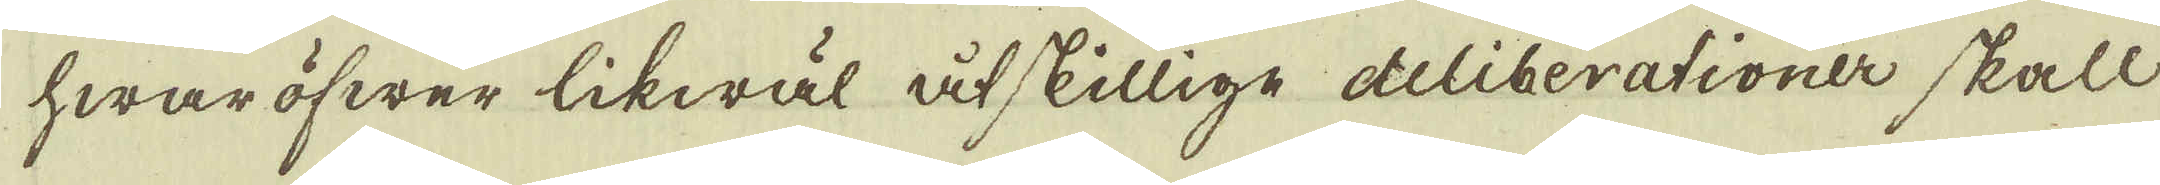hwaröfwer likwäl åtskillige deliberationer skall
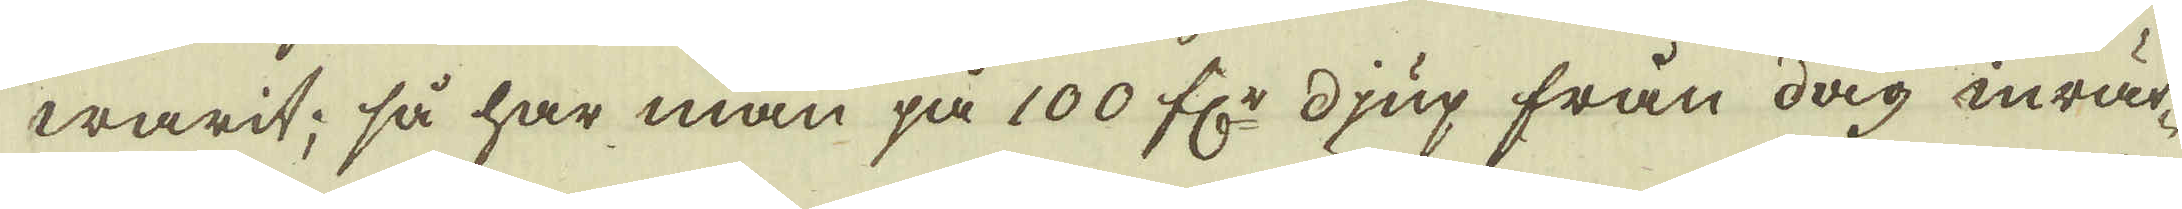warit; så har man på 100 fr: djup från dag inrät-
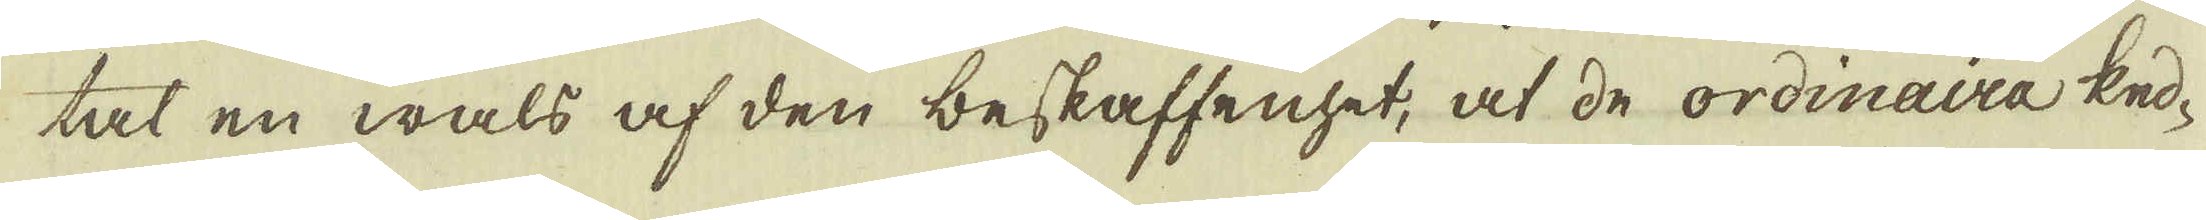tat en wals af den beskaffenhet, at de ordinaira ked-
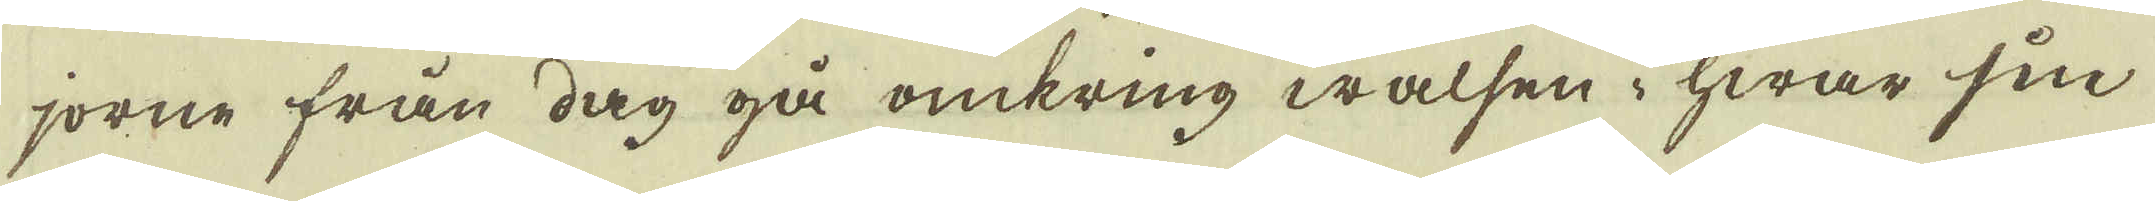jorne från dag gå omkring walsen i hwar sin
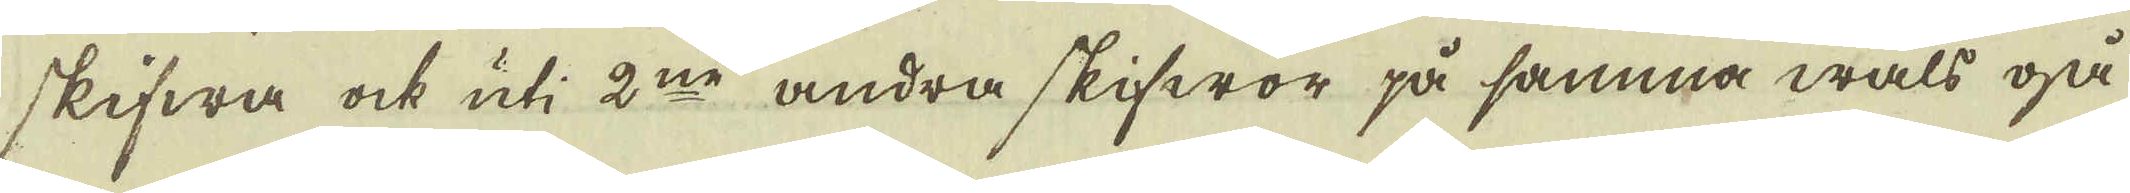skifwa ock uti 2:ne andra skifwor på samma wals gå
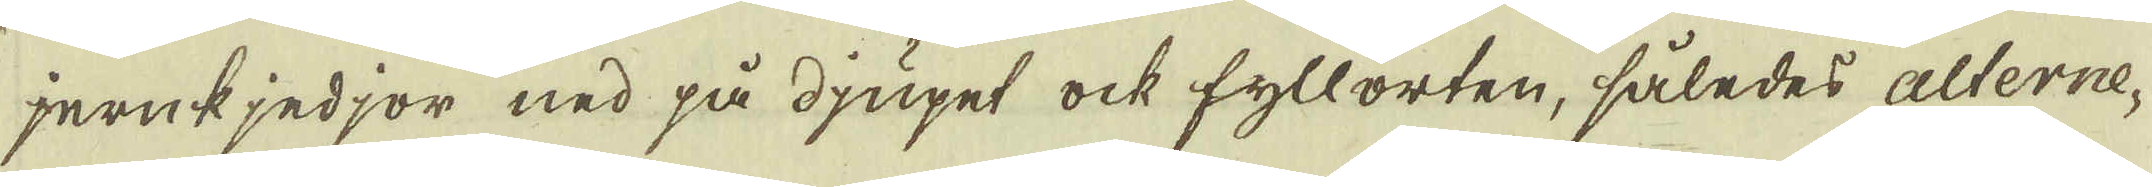jernkjedjor ned på djupet ock fyllorten, således alterne-
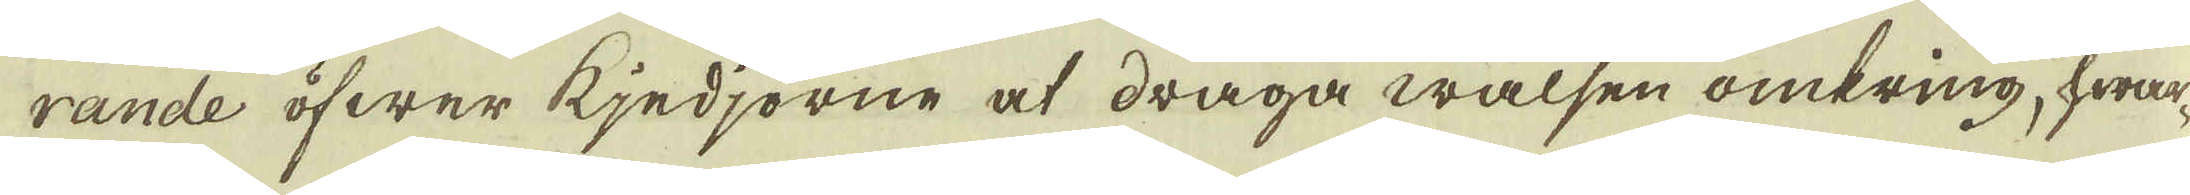rande öfwer kjedjorne at draga walsen omkring, hwar-
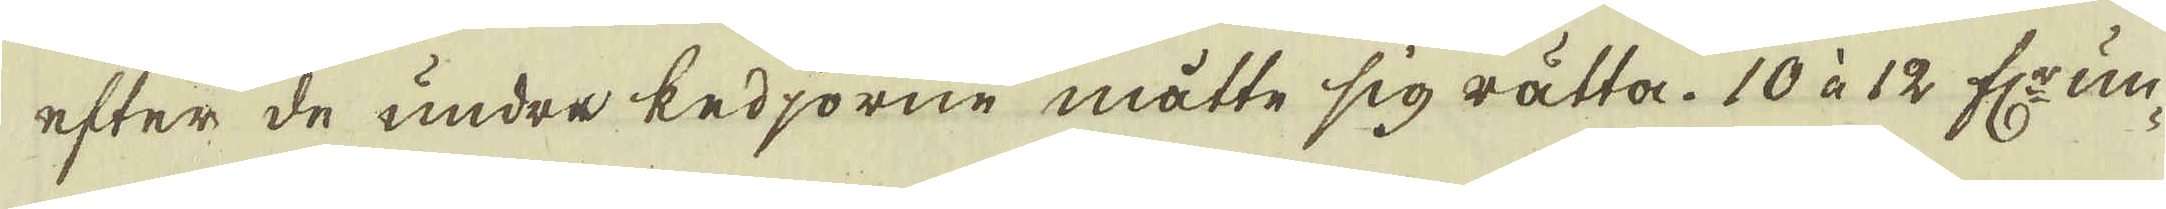efter de undre kedjorne måtte sig rätta. 10 à 12 fr: un-
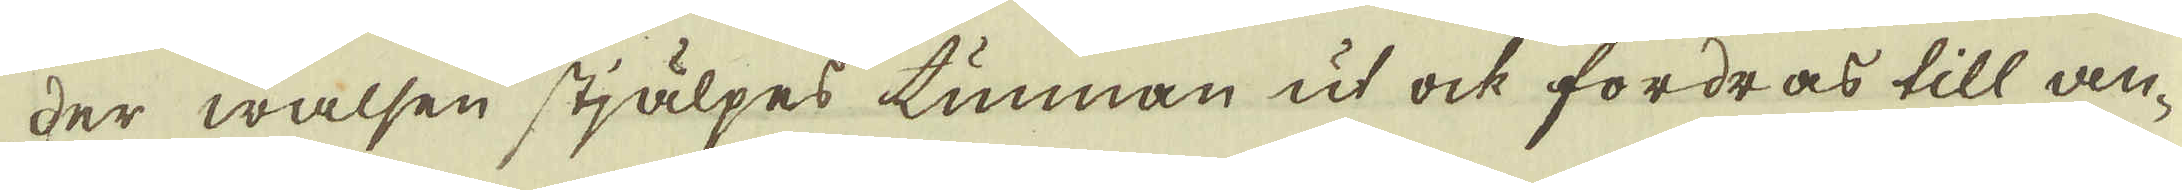der walsen stjälpes tunnan ut ock fordras till an-
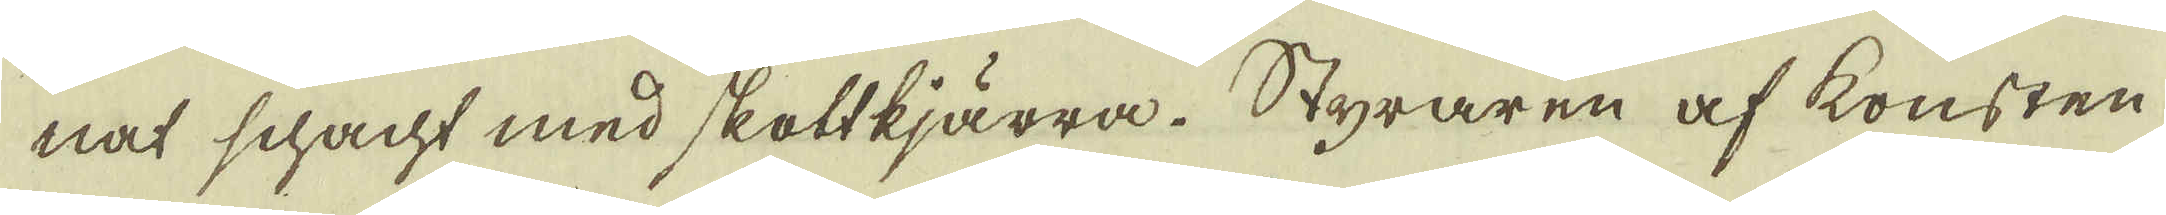nat schacht med skottkjärra. Styraren af konsten
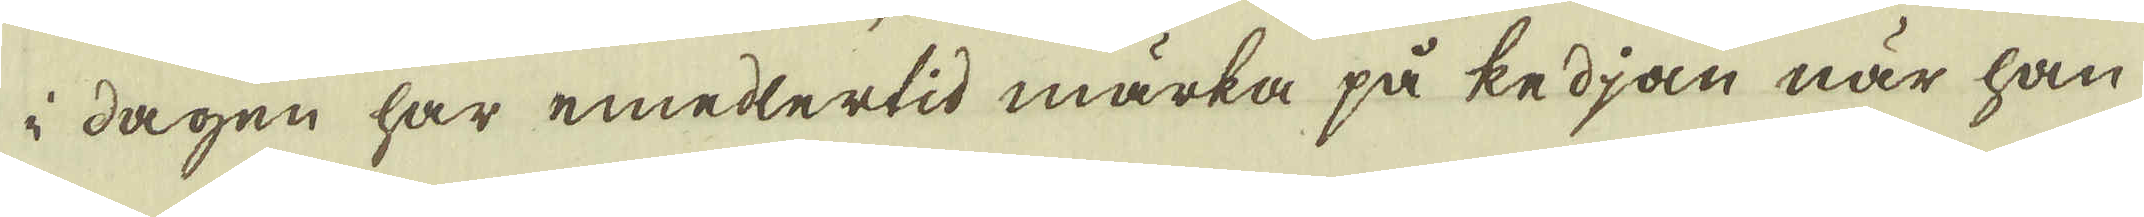i dagen har emedlertid märka på kedjan när han
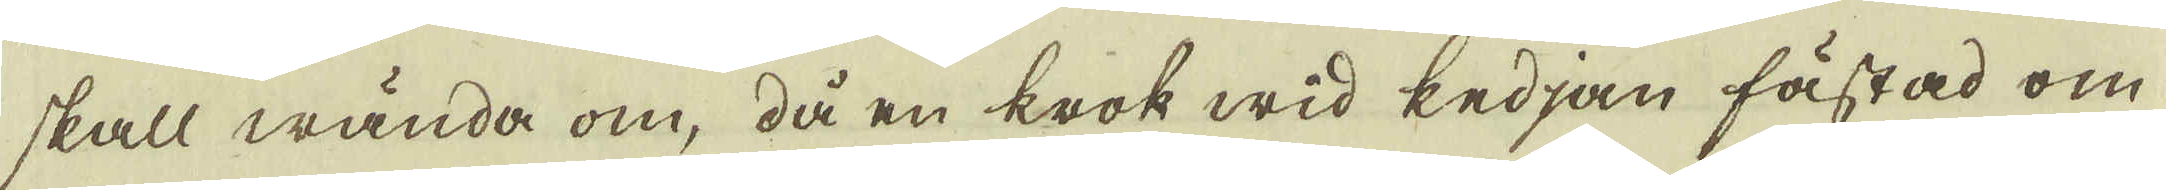skall wända om, då en krok wid kedjan fästad om
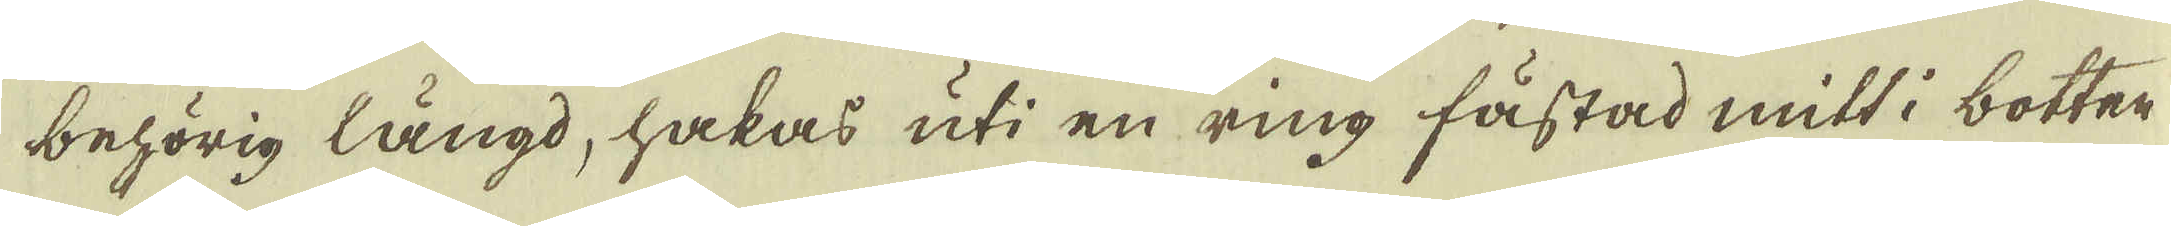behörig längd, hakas uti en ring fästad mitt i botten
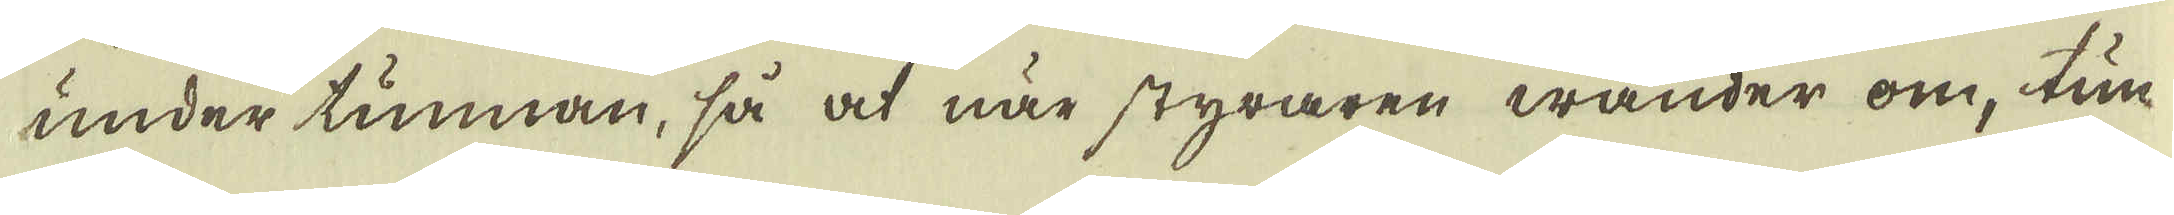under tunnan, så at när styraren wänder om, tun-
